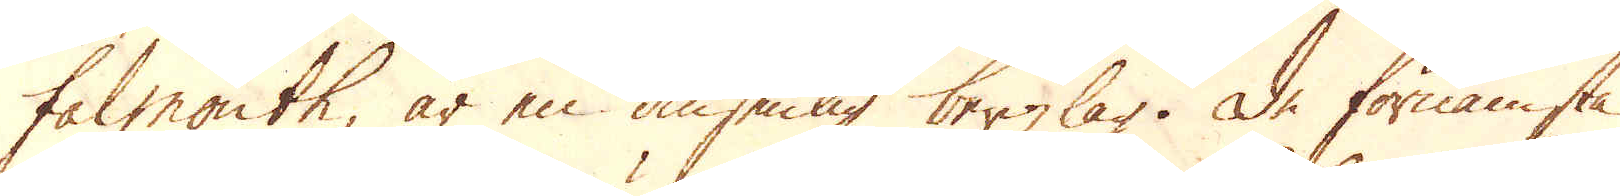Falmouth, är en ansenlig bergzlag. De förnämsta
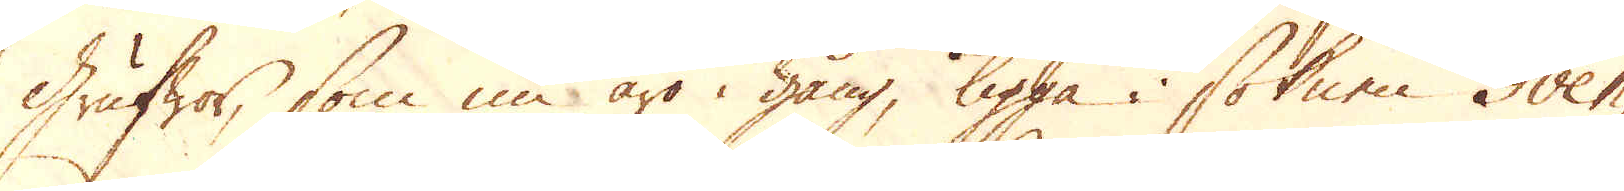Grufwor, som nu äro i gång, ligga i soknen Gven-
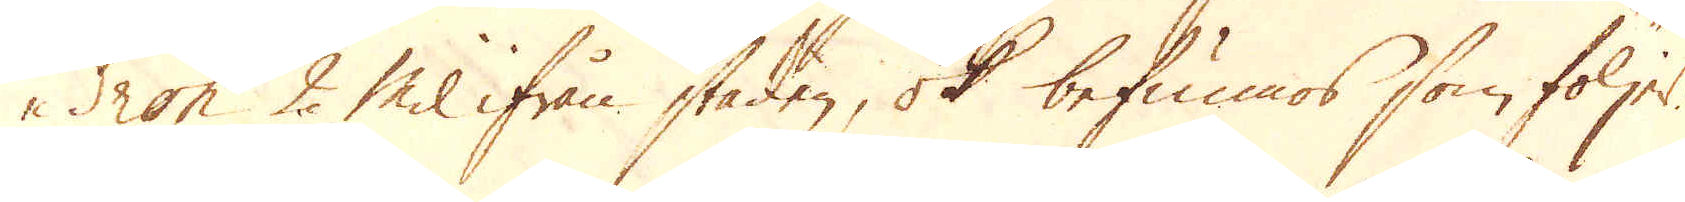dron 2 Mil ifrån staden, ok befunnos som följer,
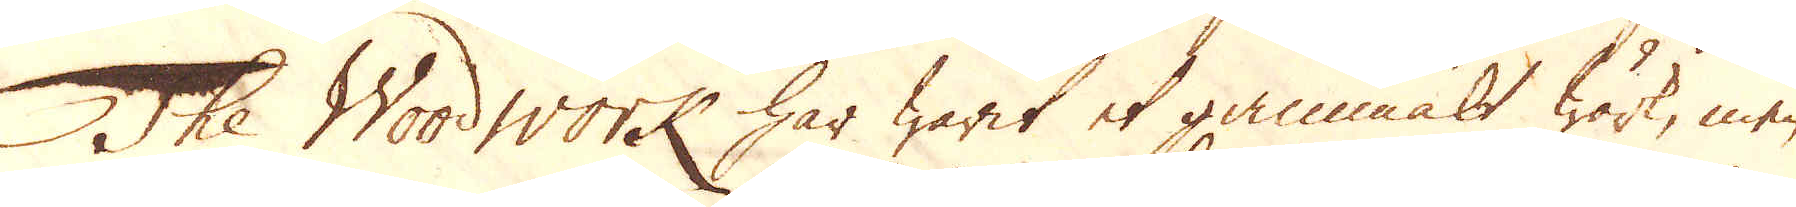The Woodwork har warit et gammalt wärk, men
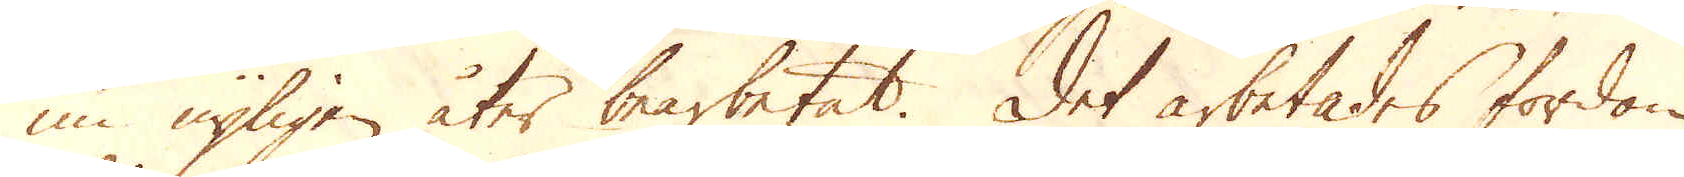nu nyligen åter bearbetat. Det arbetades fordom
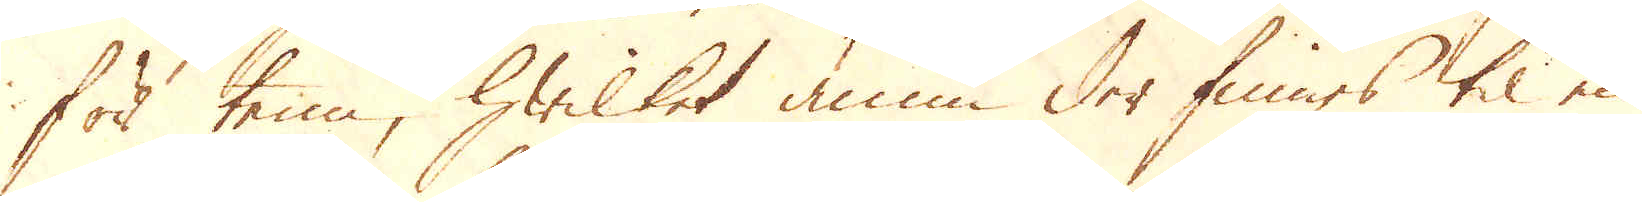för tenn, hwilket ännu der finnes til en
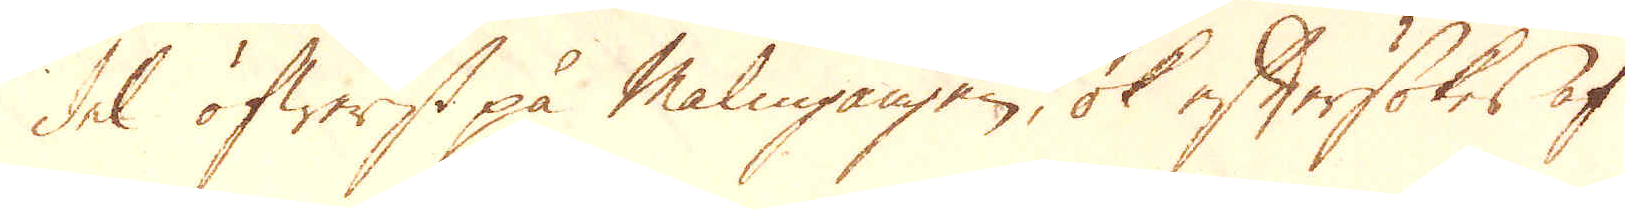del öfwerst på Malmgången, ok eftersökes af
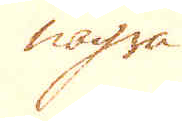några
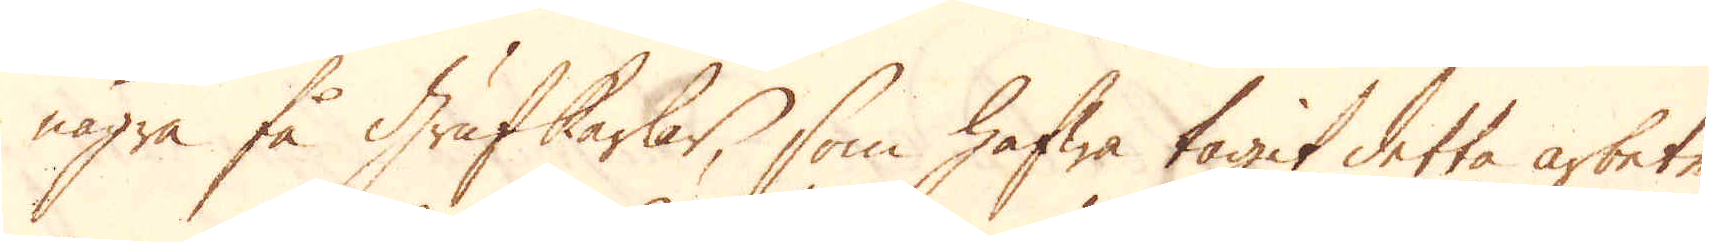några få Grufkarlar, som hafwa tagit detta arbete
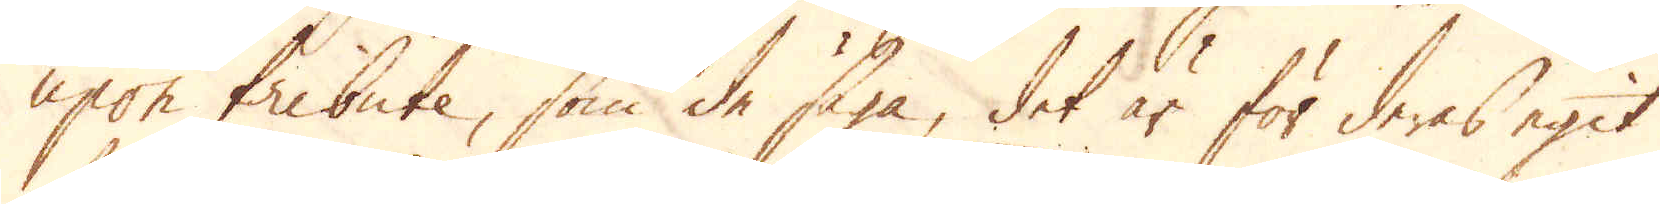upon tribute, som de säga, det är för deras egit
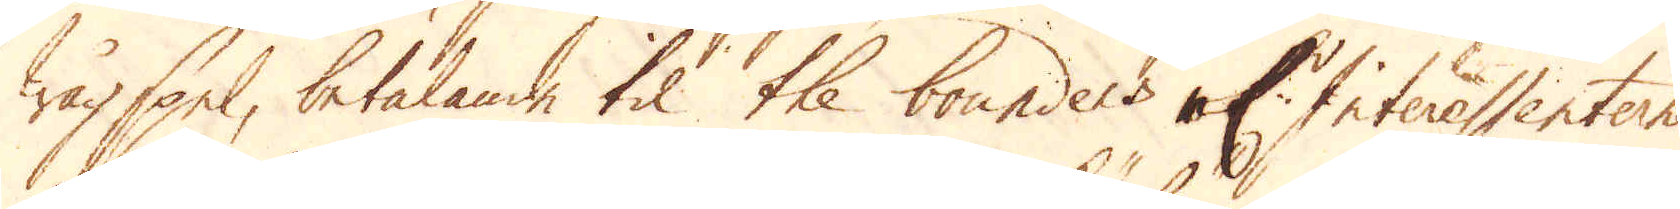wågspel, betalande til the bounders at Interessenterne
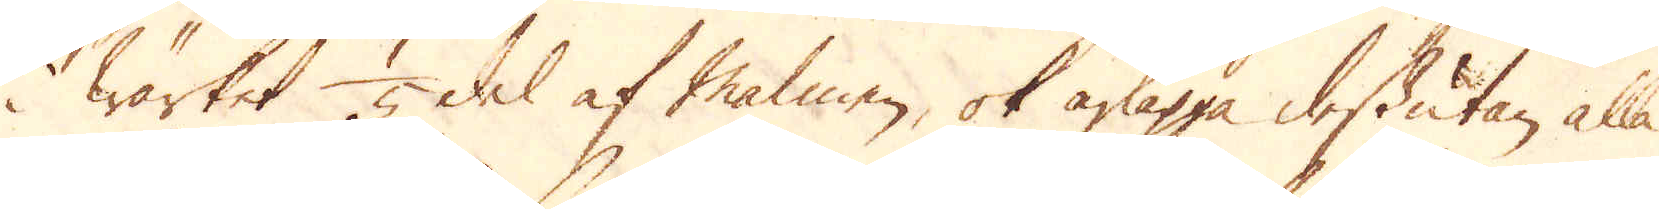i wärket 1/5 del af Malmen, ok ärlägga dessutan alla
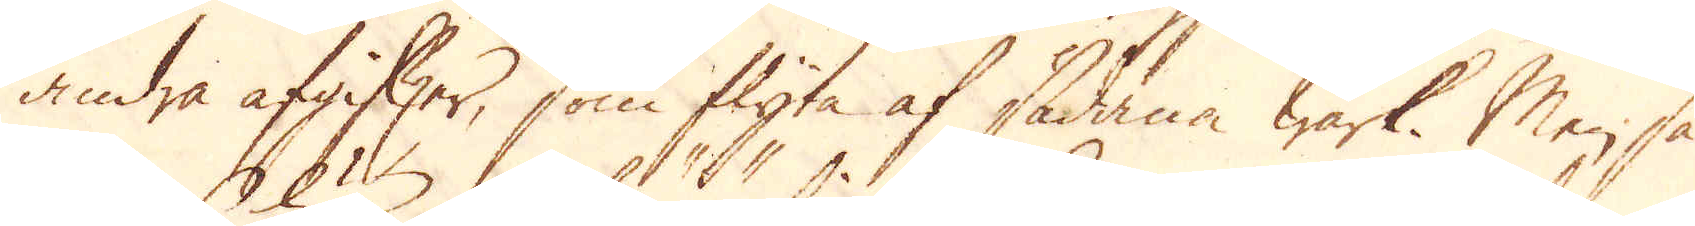andra afgifter, som flyta af sådana Wärk. Men så
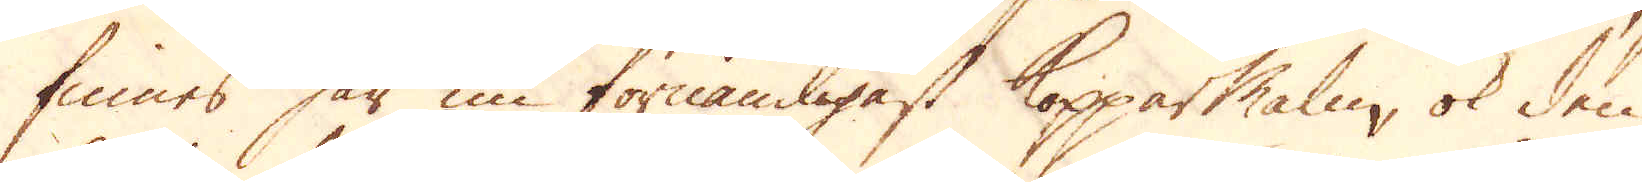finnes här nu förnämligast Kopparmalm, ok den
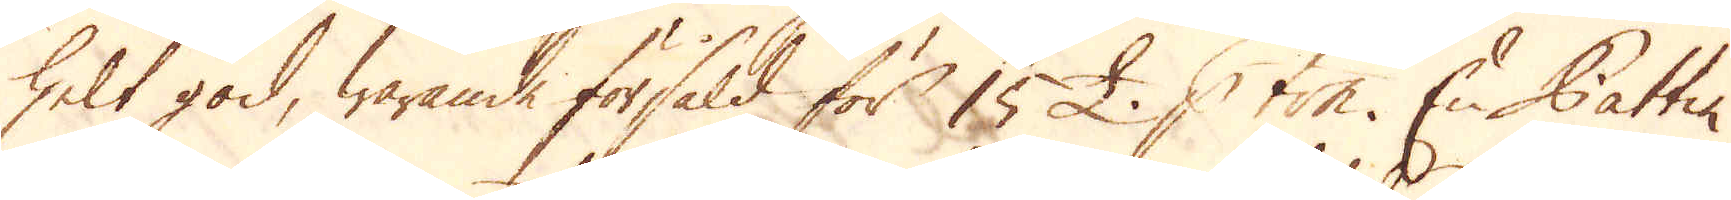helt god, warande försåld för 15 £. p ton. En Pattin
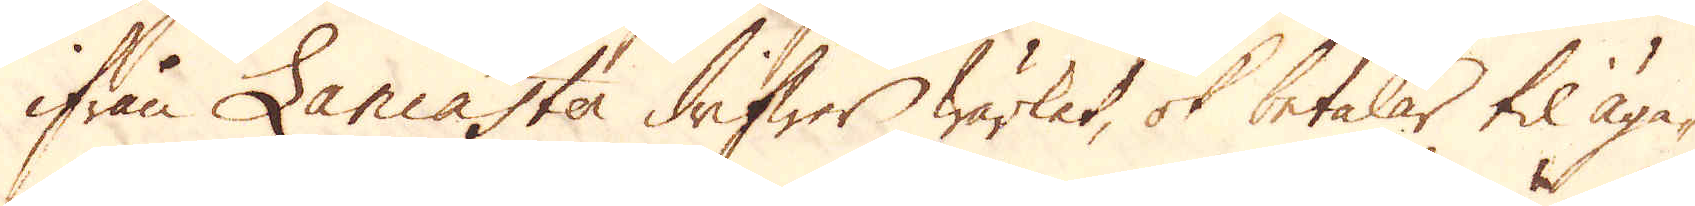ifrån Lancaster drifwer wärket, ok betalar til äga-
